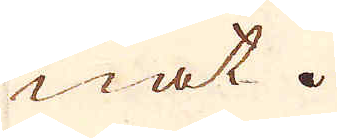nat.
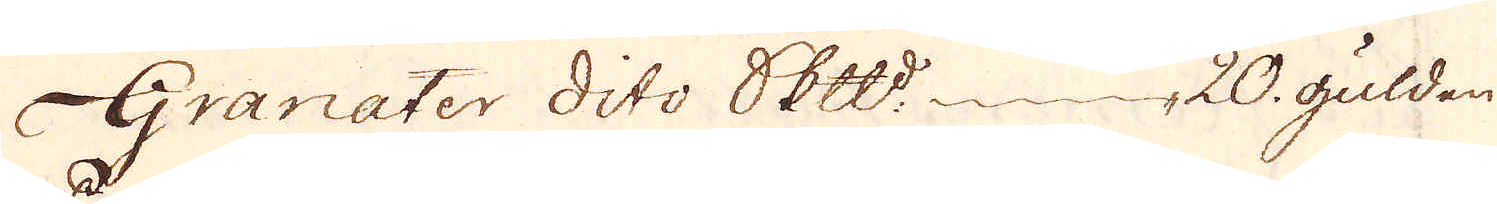Granater dito skeppund 20 gulden
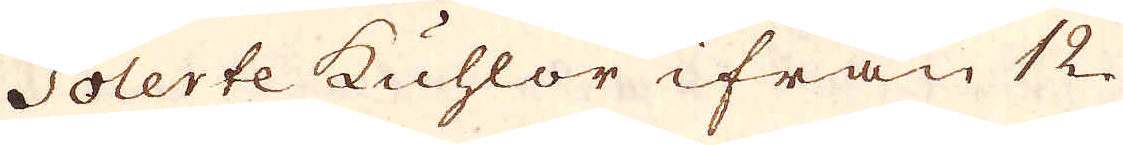Polerte kuhlor ifrån 12.
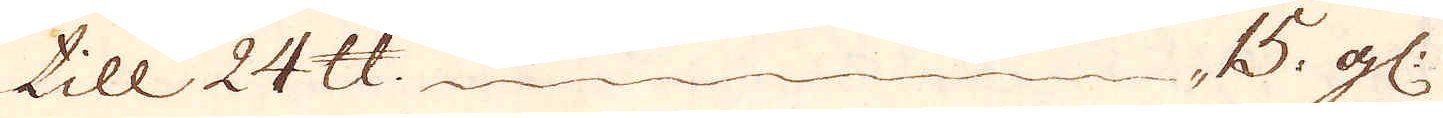till 24 skålpund 15 gl:
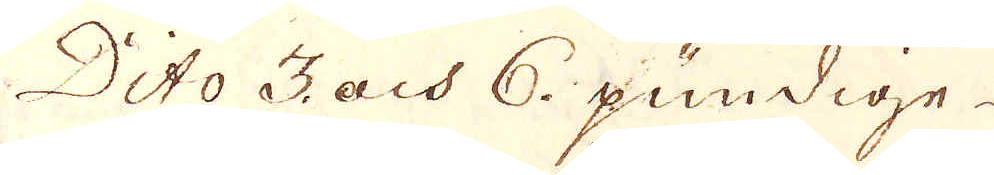Dito 3 och 6 pundige.
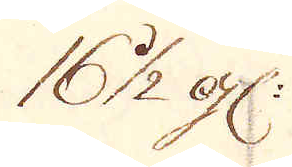16 1/2 gl:
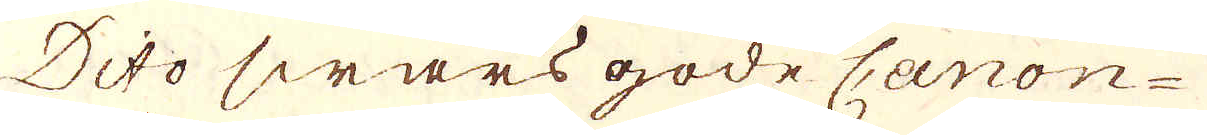Dito swars gode Canon-
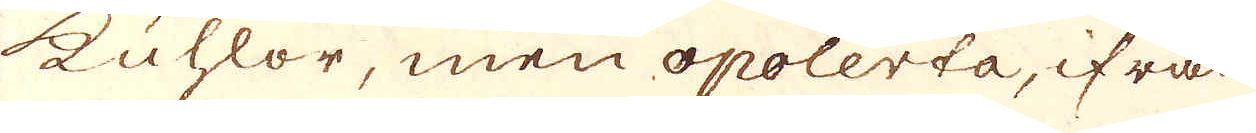kuhlor, men opolerta, ifrån
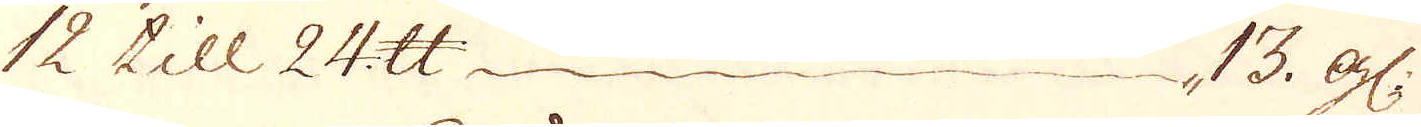12 till 24 skålpund 13 gl:
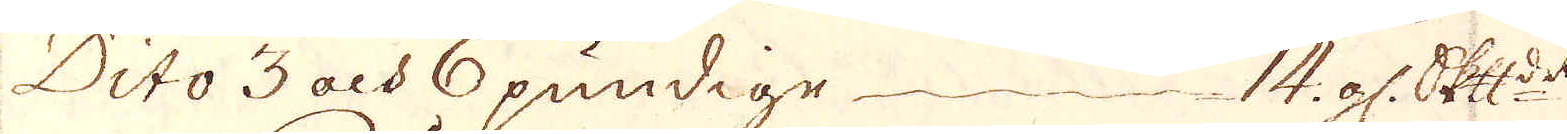Dito 3 och pundige — 14 gl: Skepppund
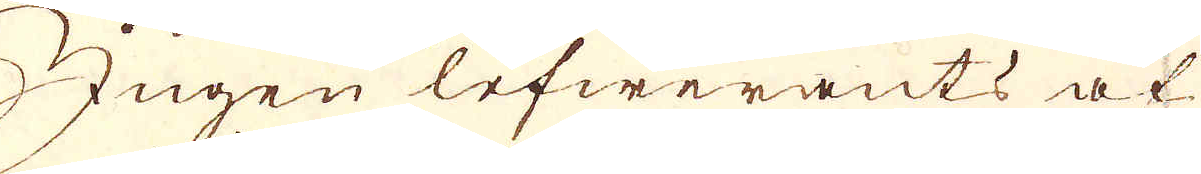Jegen lefwerants at
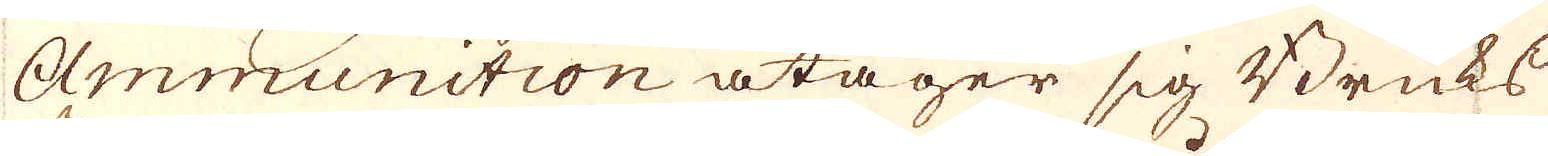Ammunition åtager sig Bruks-
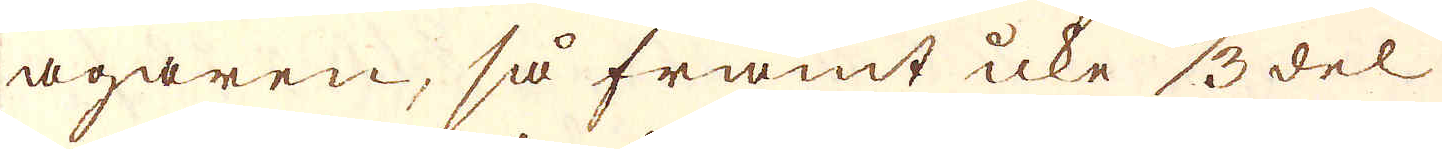ägaren, så framt icke 1/3 del
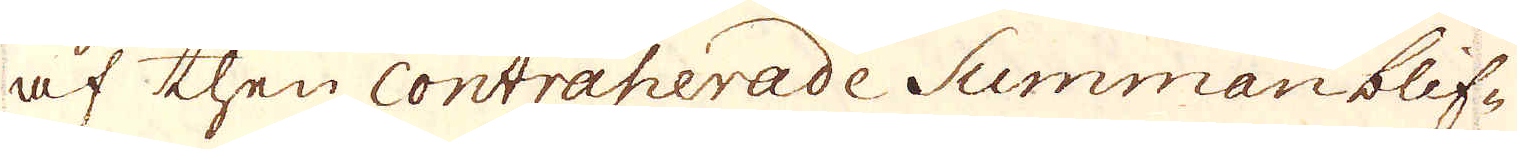af then Contraherade Summan blif-
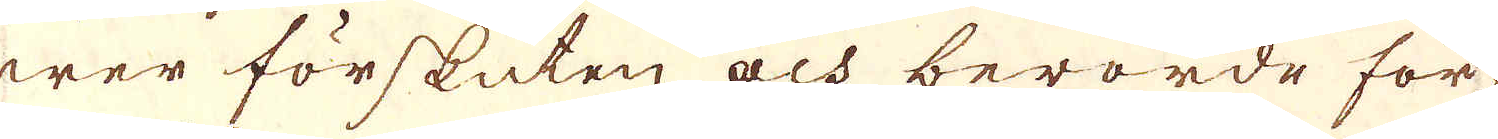wer förskuten, och berörde för
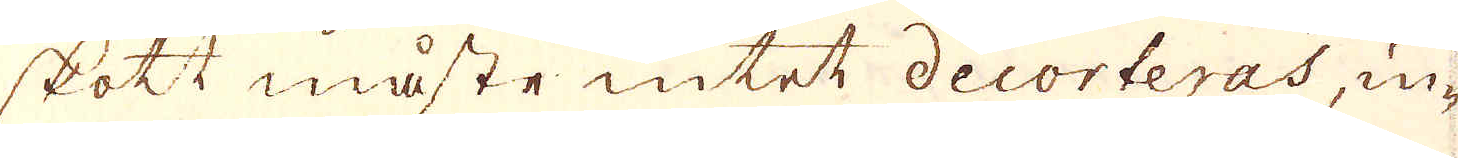skott måste intet decorteras, in-
